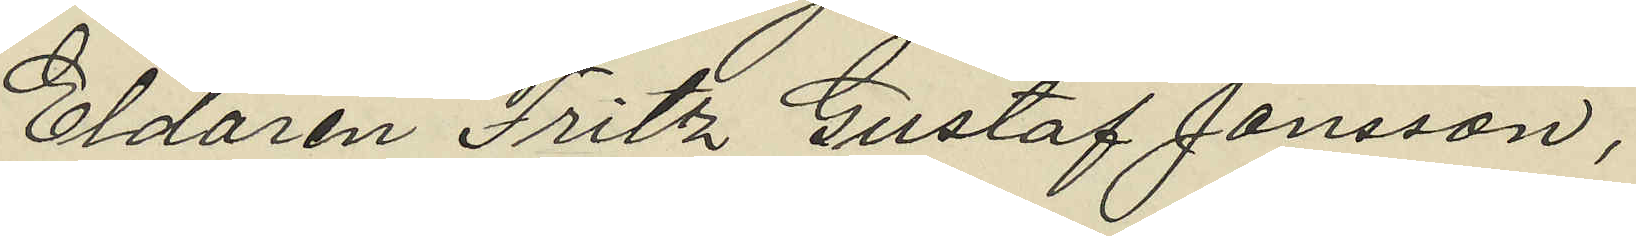Eldaren Fritz Gustaf Jansson,
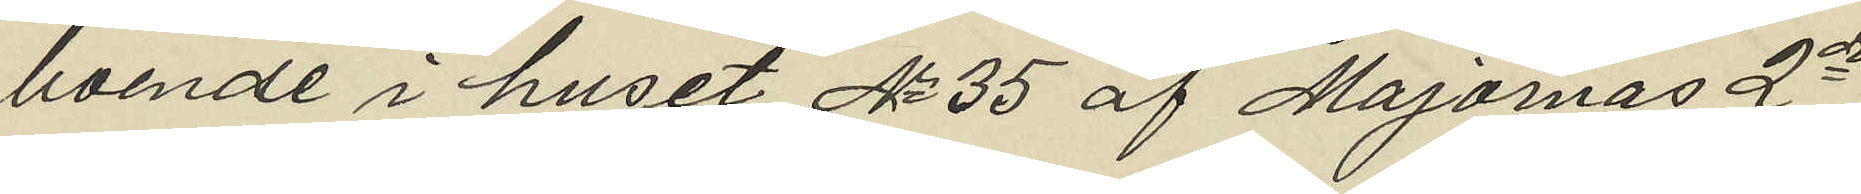boende i huset No 35 af Majornas 2o
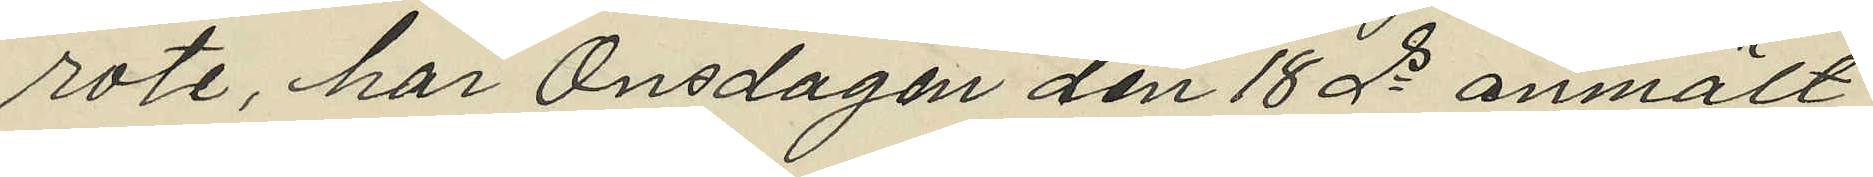rote, har Onsdagen den 18 ds anmält
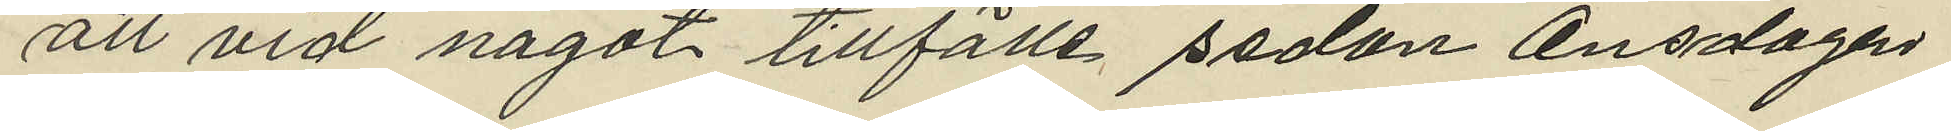att vid något tillfälle sedan Onsdagen
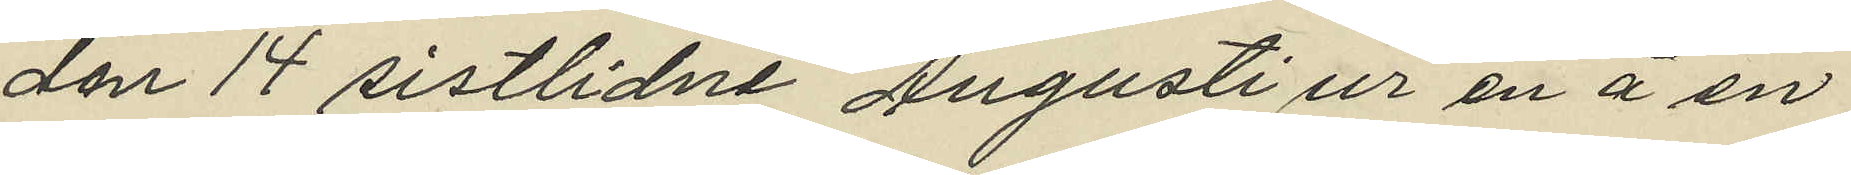den 14 sistlidne Augusti ur en å en
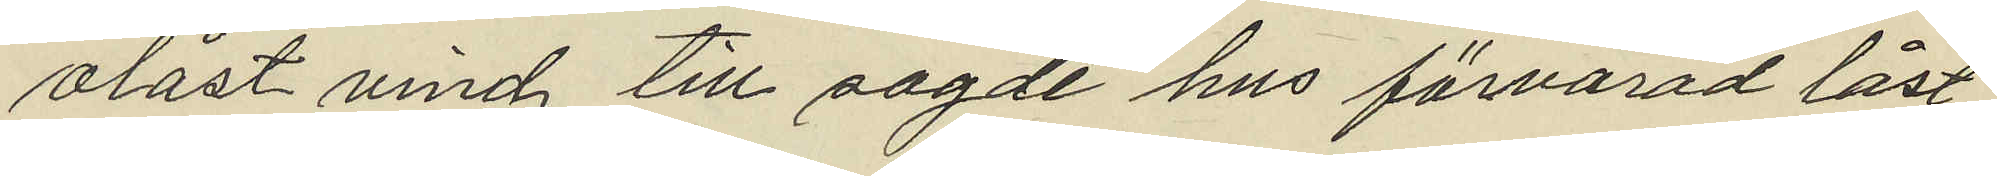olåst vind till sagde hus förvarad låst
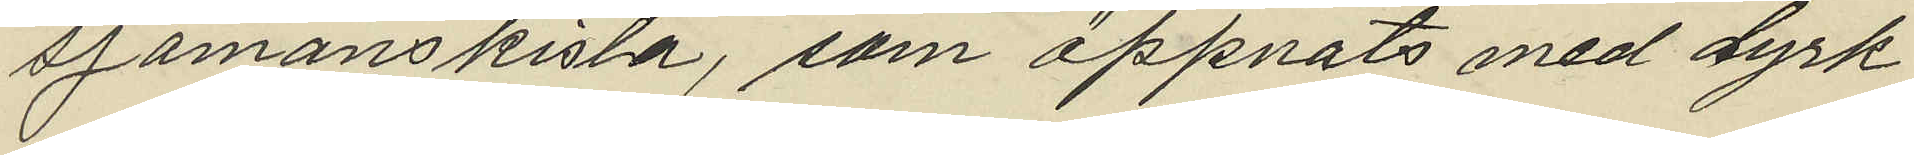sjömanskista, som öppnats med dyrk
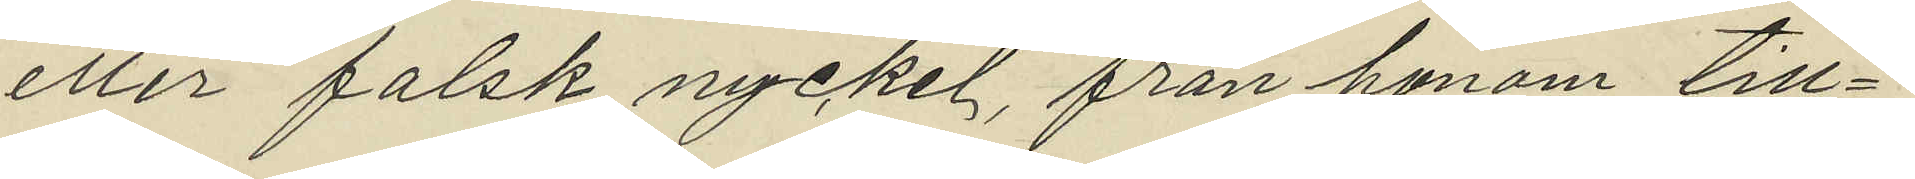eller falsk nyckel, från honom till¬
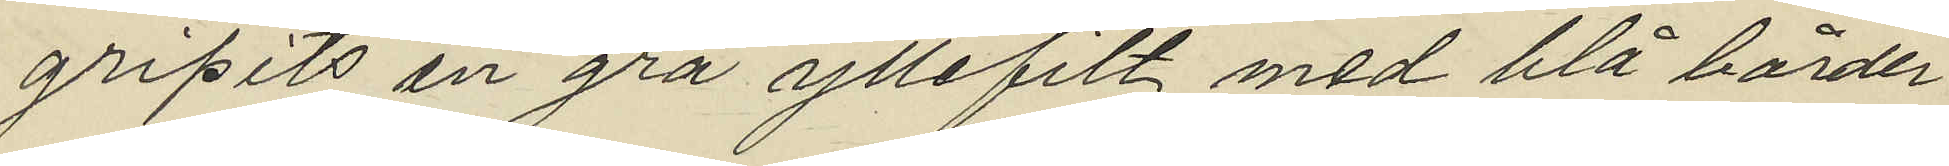gripits en grå yllefilt med blå border
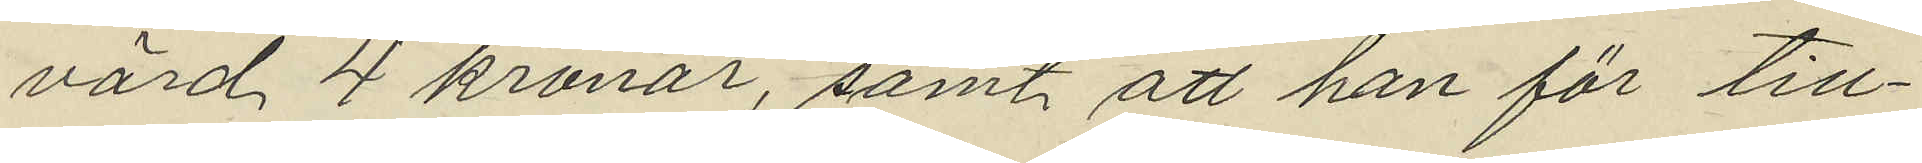värd 4 kronor, samt att han för till¬
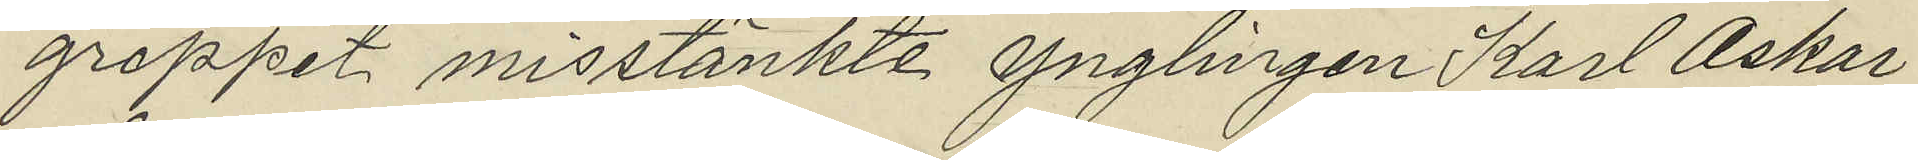greppet misstänkte ynglingen Karl Oskar
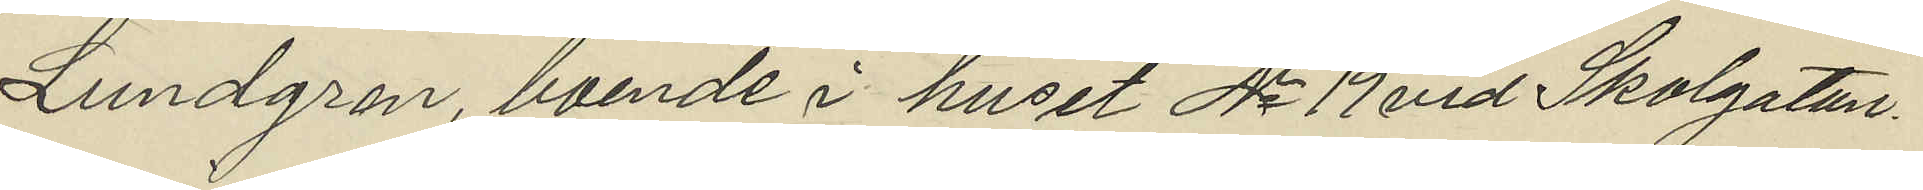Lundgren, boende i huset No 19 vid Skolgatan.
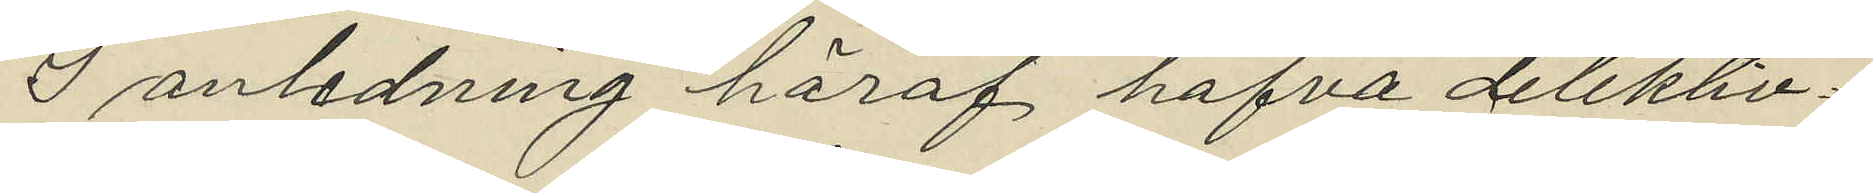I anledning häraf hafva detektiv¬
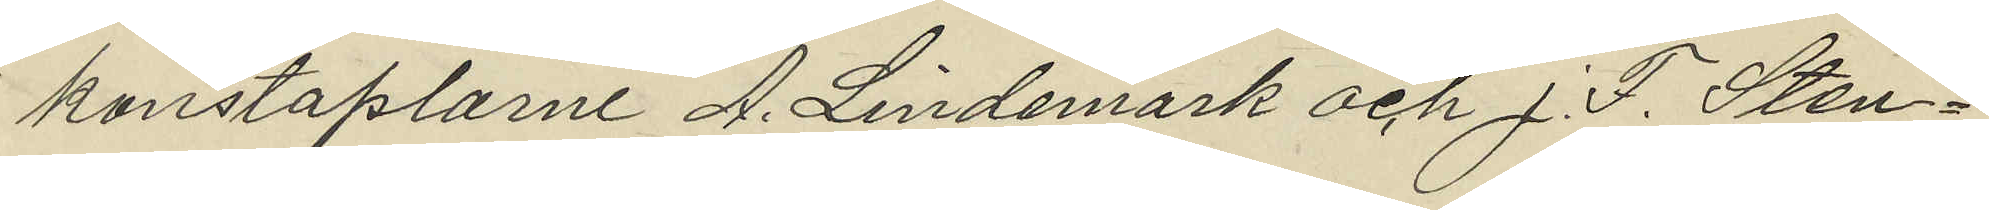konstaplarne A. Lindemark och J. F. Sten¬
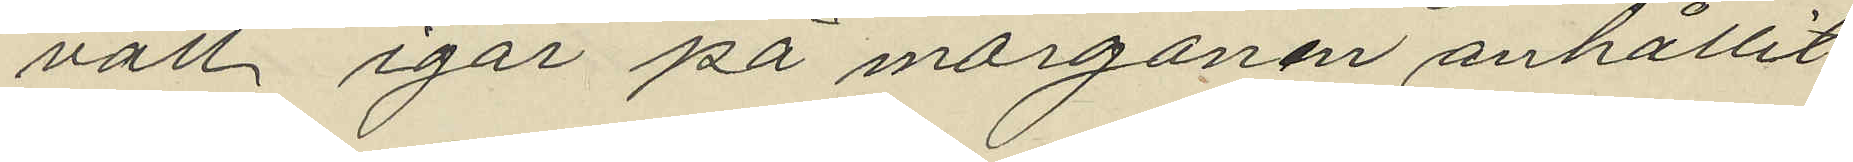vall igår på morgonen anhållit
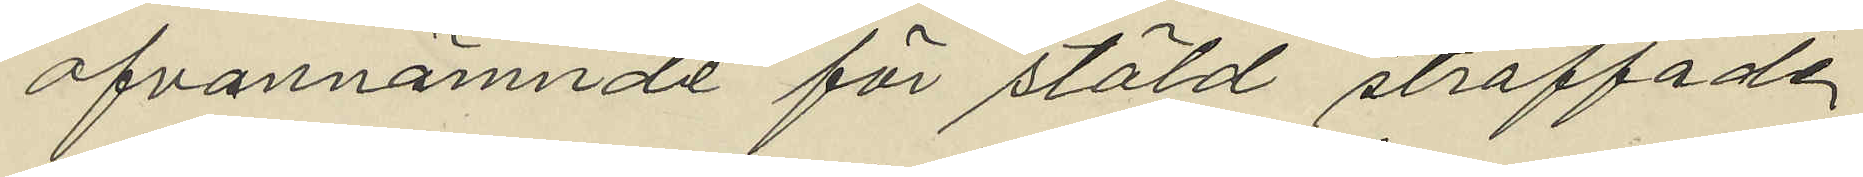ofvannämnde för stöld straffade
